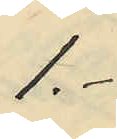1.-
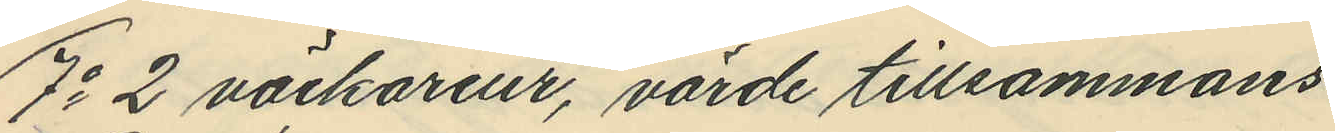7o 2 väckareur, värde tillsammans
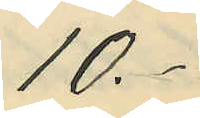10.-
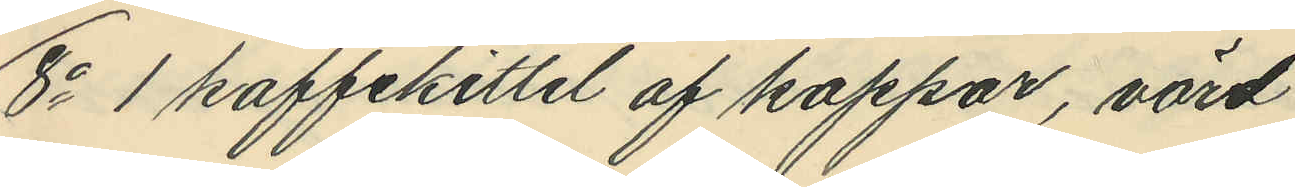8o 1 kaffekittel af koppar, värd
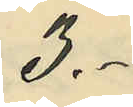3.-
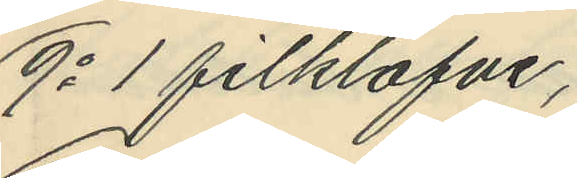9o 1 filklafve,
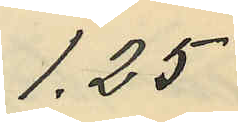1,25
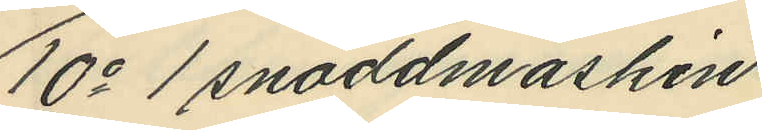10o 1 snoddmaskin
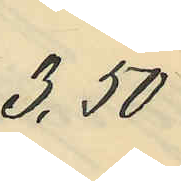3,50
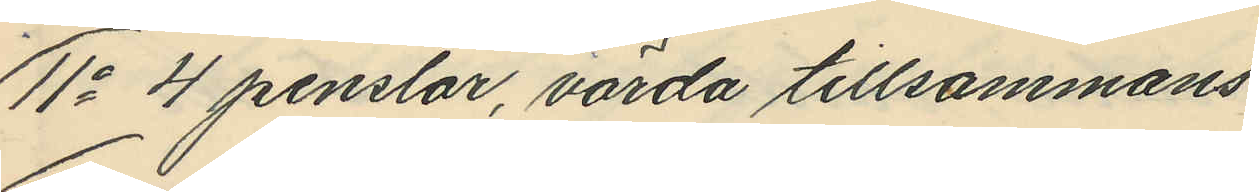11o 4 penslar, värda tillsammans
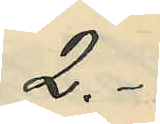2.-
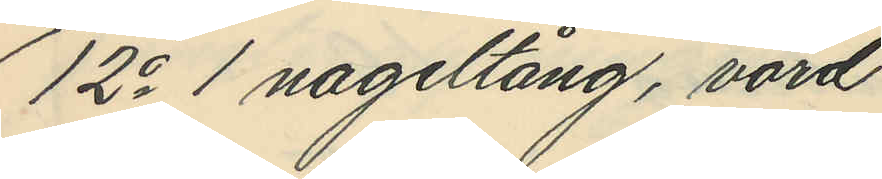12o 1 nageltång, värd
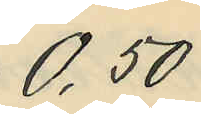0,50
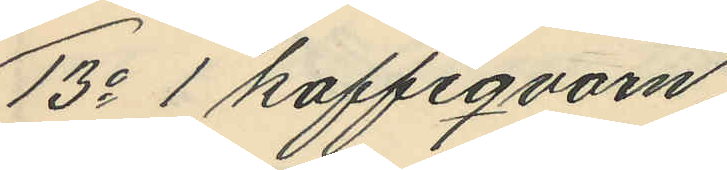13o 1 kaffeqvarn
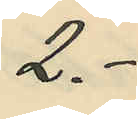2.-
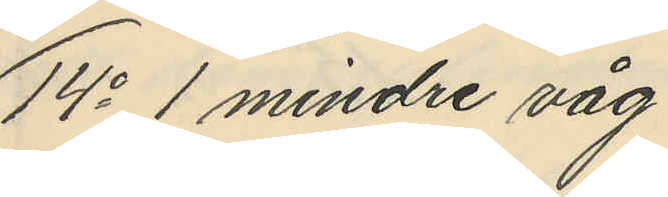14o 1 mindre våg
